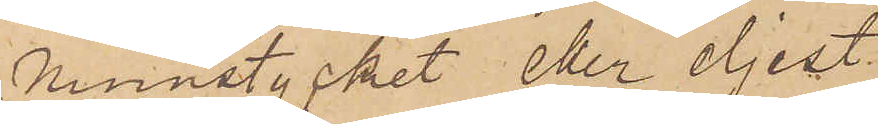munstycket eller eljest
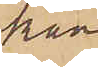kan
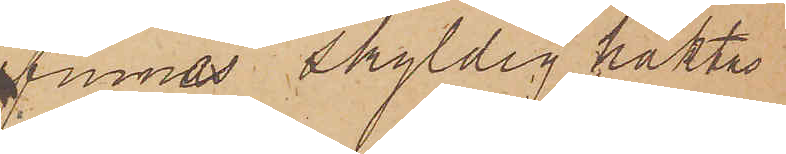finnas skyldig, häktas
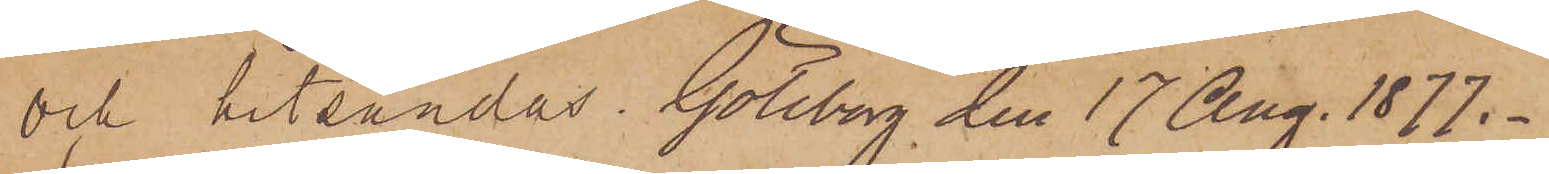och hitsändas. Göteborg den 17 Aug. 1877.
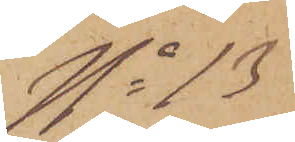No 18
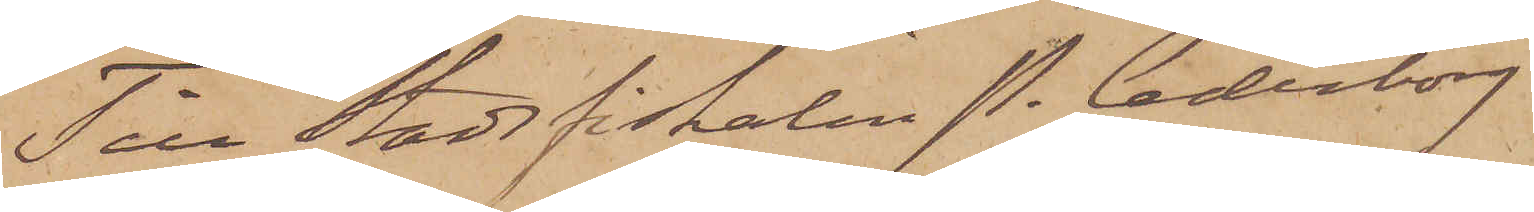Till Stadsfiskalen P. Cederborg
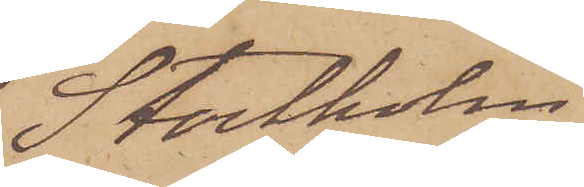Stockholm
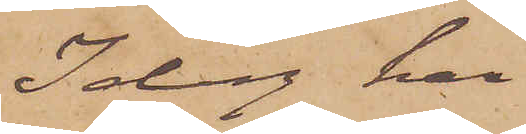Idag har
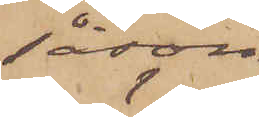såsom
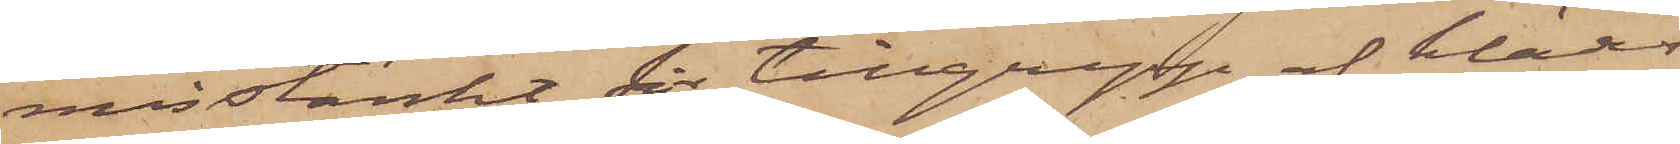misstänkt för tillgrepp af klädes¬
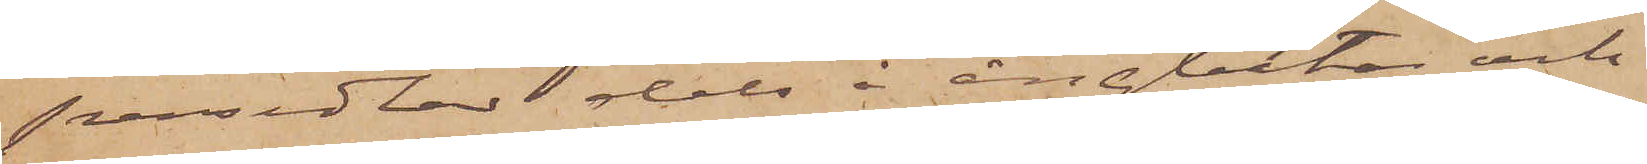persedlar dels å ångbåtar och
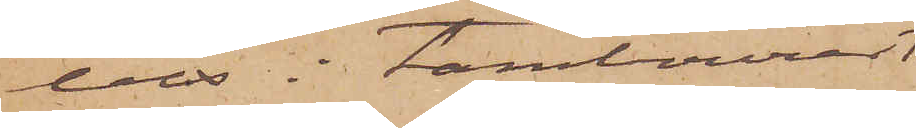dels i tambourer
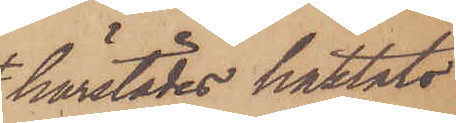härstädes häktats
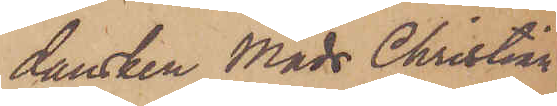dansken Mads Christian
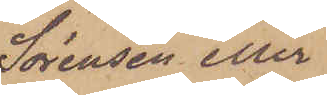Sörensen eller
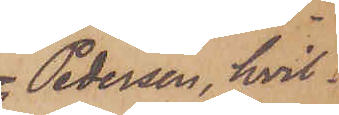 Pedersen, hvil¬
